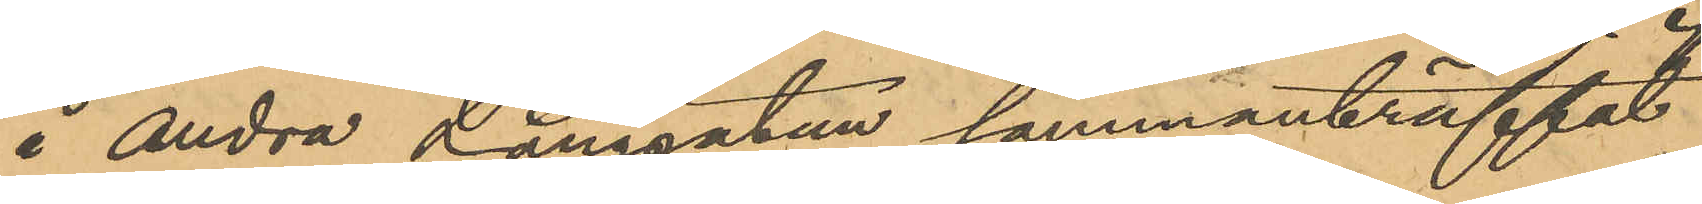i Andra Långgatan sammanträffat
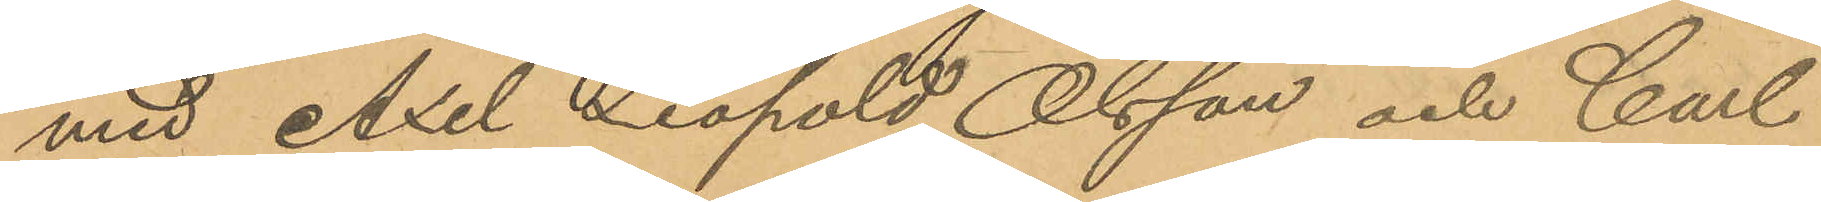med Axel Leopold Olsson och Carl
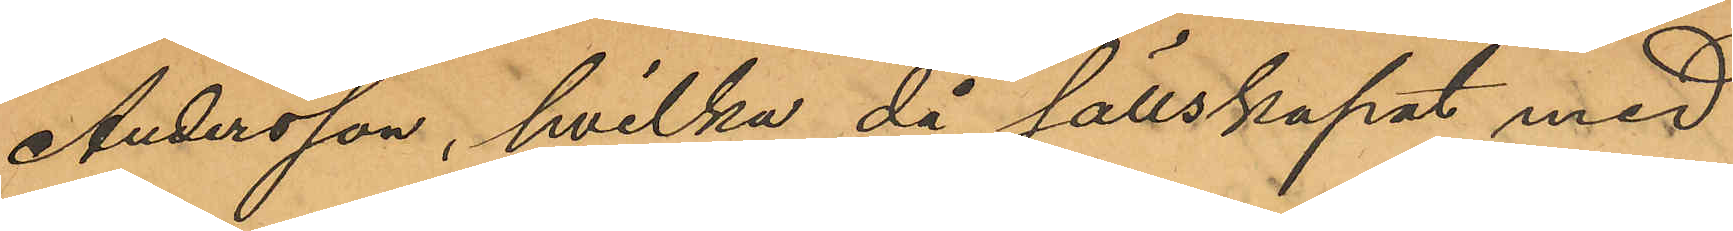Andersson, hvilka då sällskapat med
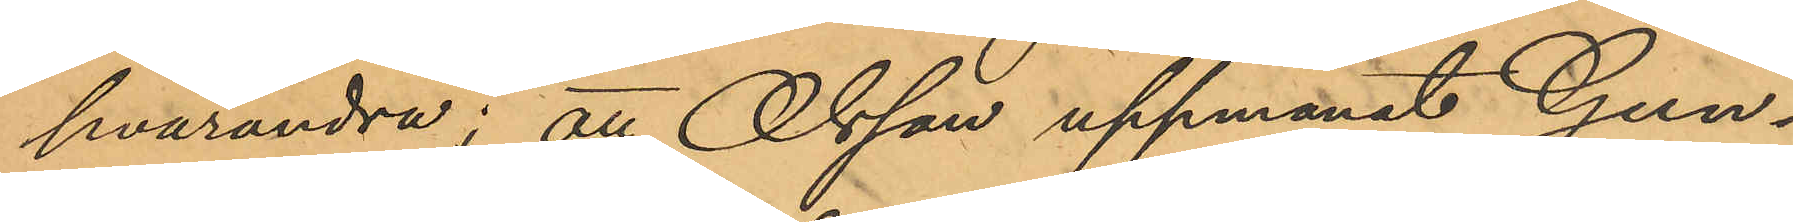hvarandra; att Olsson uppmanat Gun¬
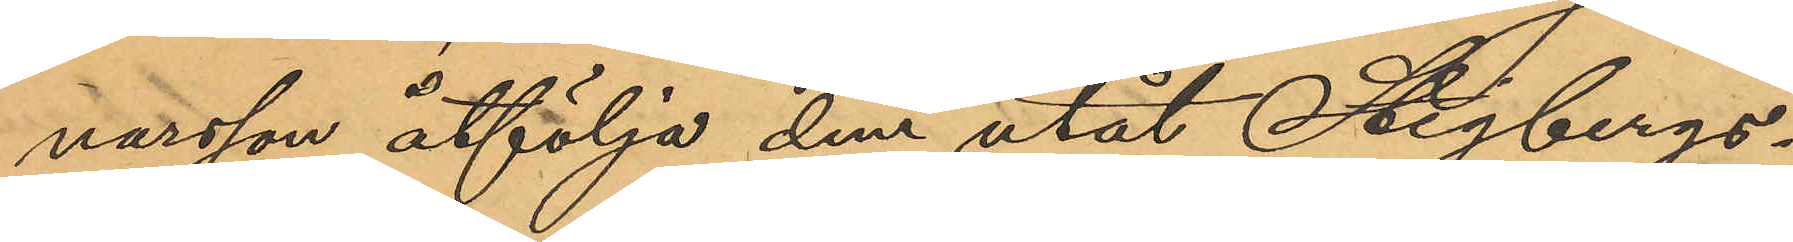narsson åtfölja dem utåt Stigbergs¬
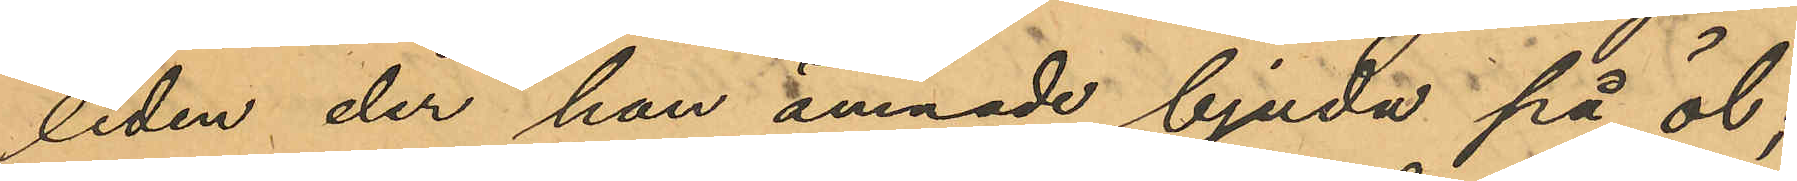liden der han ämnade bjuda på öl;
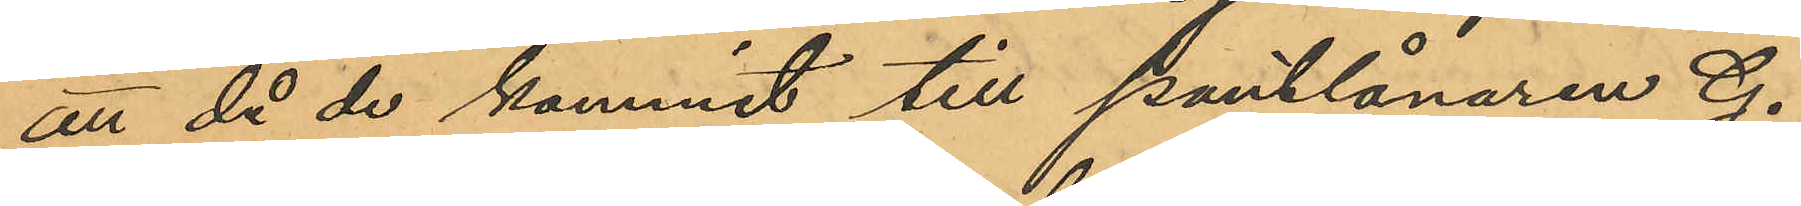att då de kommit till pantlånaren G.
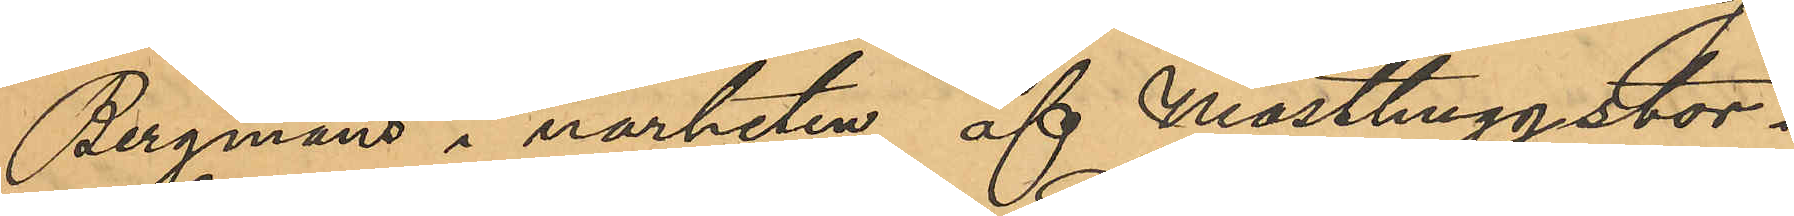Bergmans i närheten af Masthuggstor¬
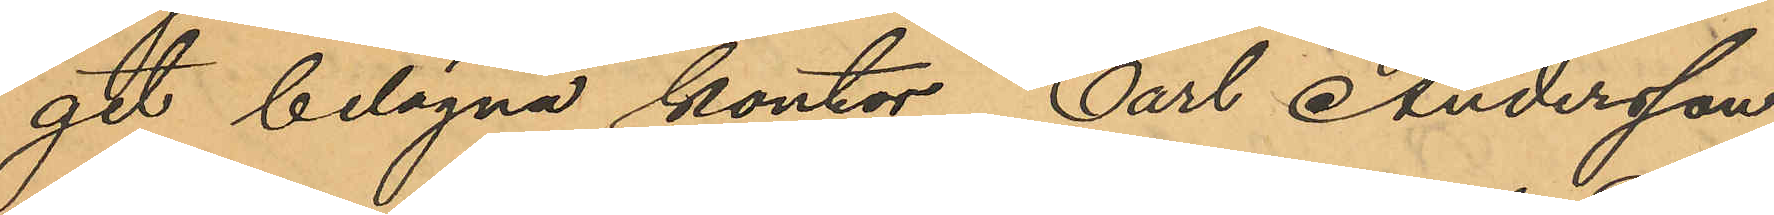get belägna kontor, Carl Andersson
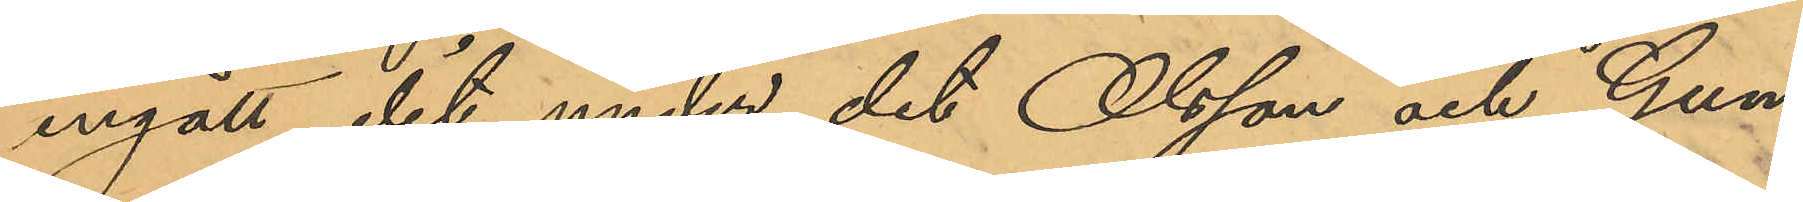ingått dit under det Olsson och Gun¬
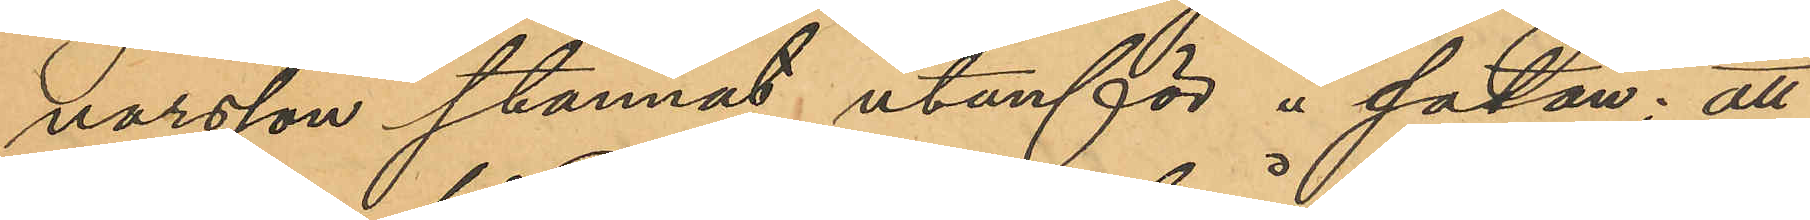narsson stannat utanför å gatan; att
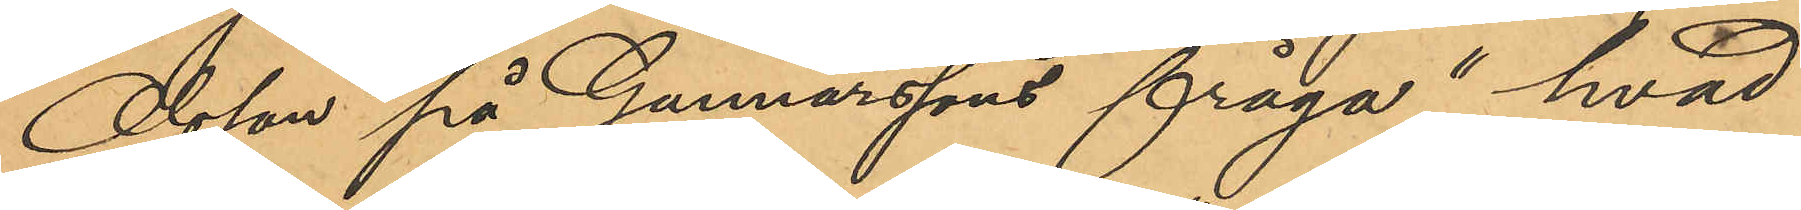Olsson på Gunnarssons fråga "hvad
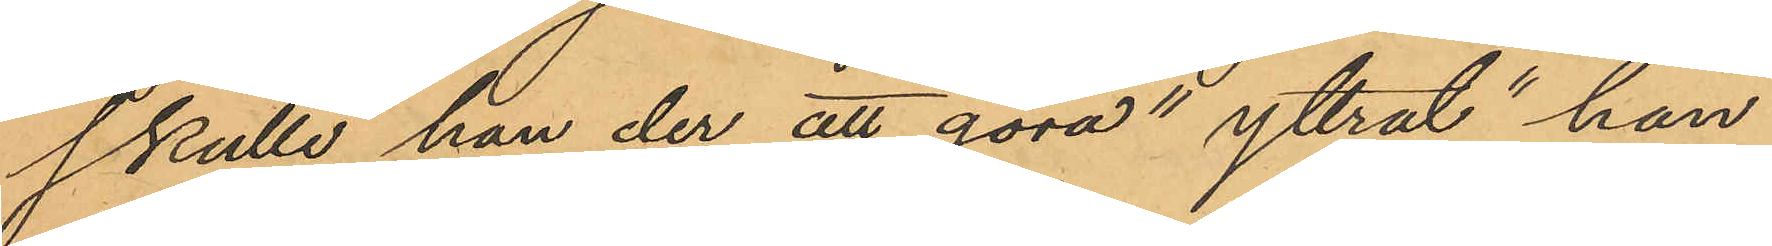skulle han der att göra" yttrat "han
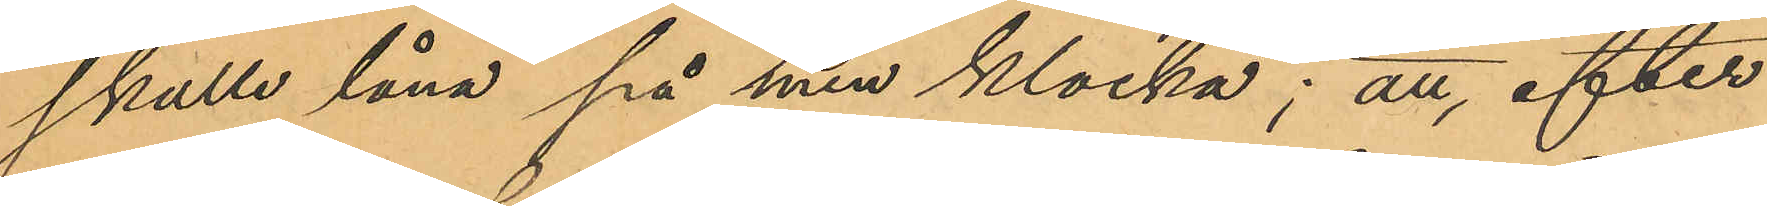skulle låna på sin klocka"; att, efter
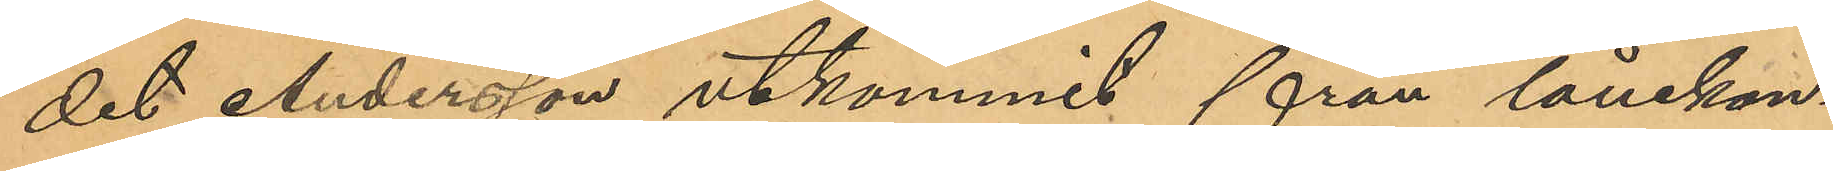det Andersson utkommit från lånekon¬
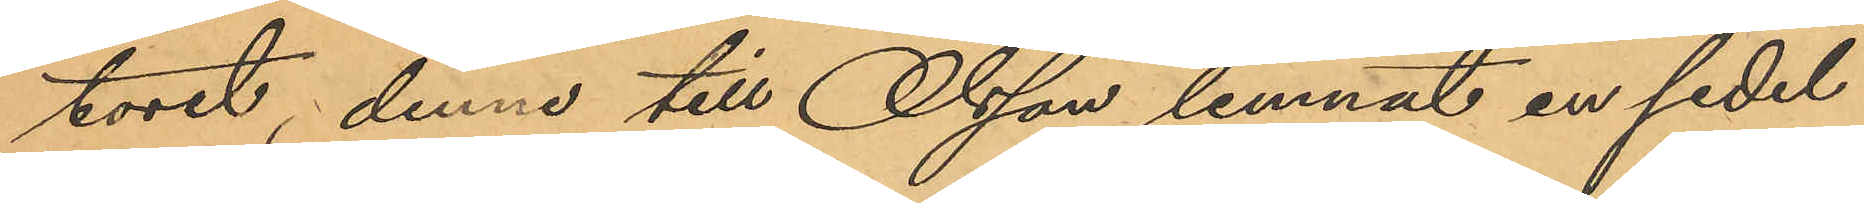toret, denne till Olsson lemnat en sedel
